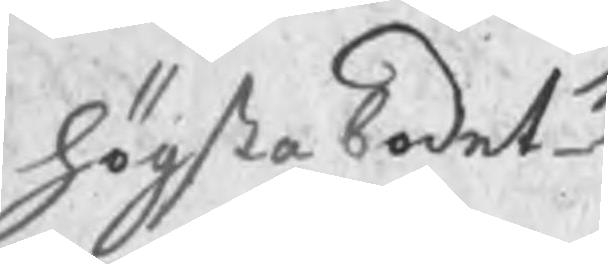högsta bodet
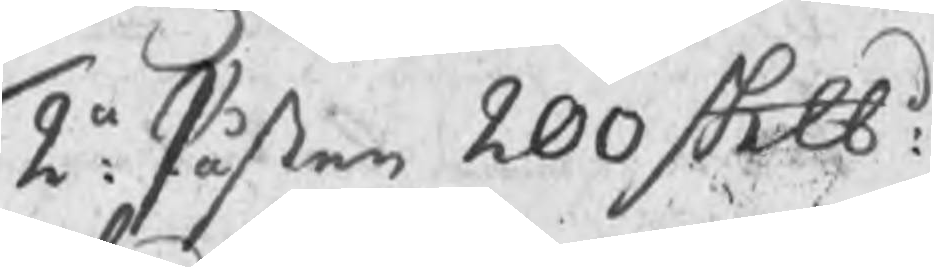2a: Påsten 200 Sklbd:
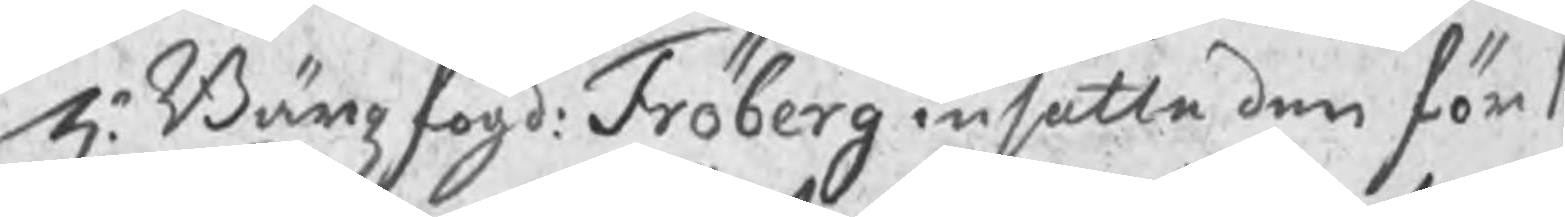Hr Bärgzfogd: Fröberg insatte den för 1
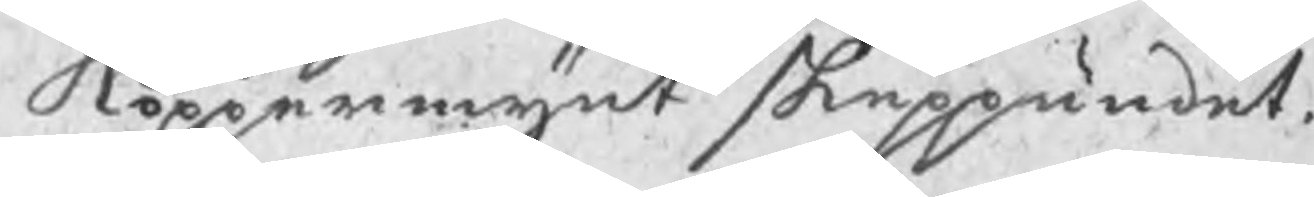kopparmynt skeppundet.
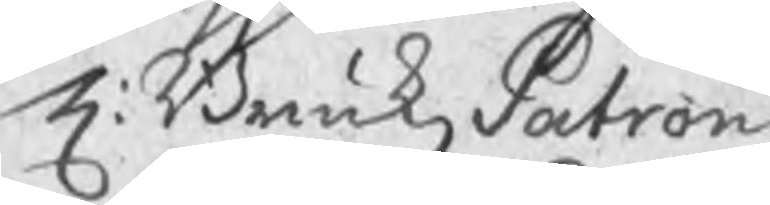H: BrukzPatron
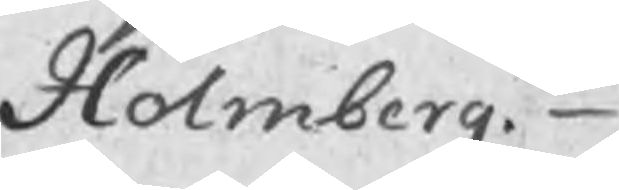Holmberg.
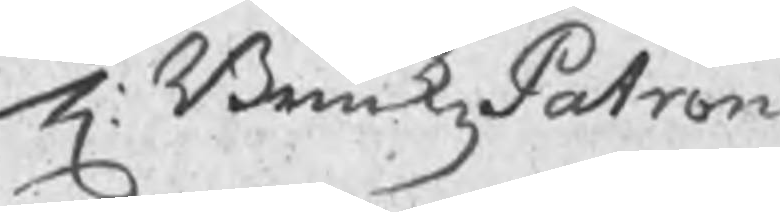H: BrukzPatron
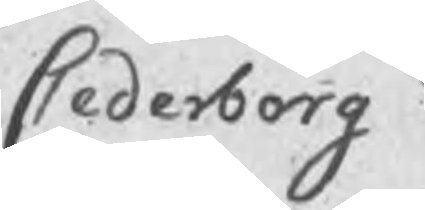Cederborg
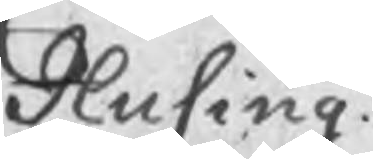Husing
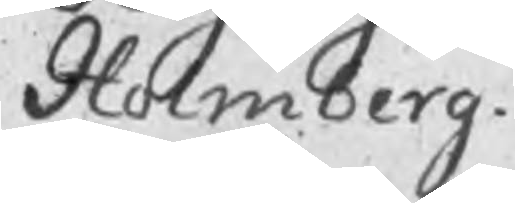Holmberg
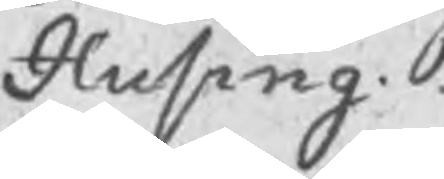Husing
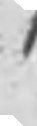14
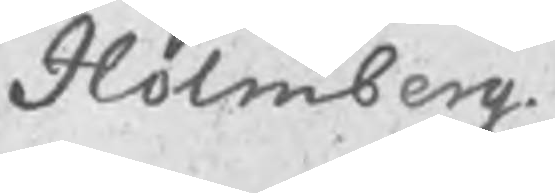Holmberg
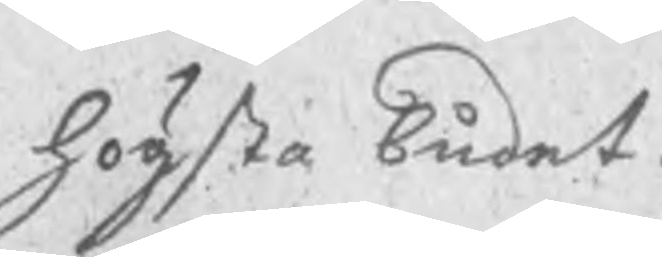högsta budet
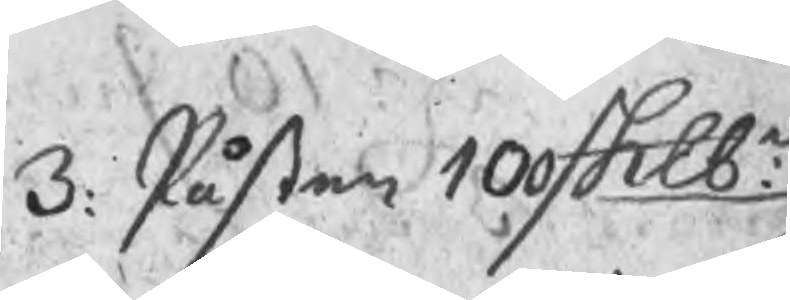3: Påsten 100 Sklbd:
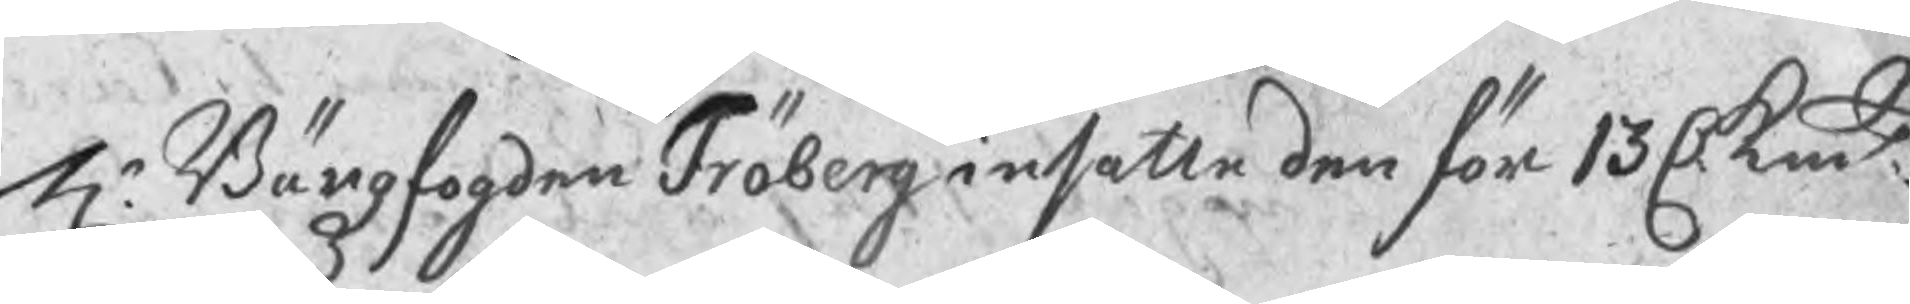Hr Bärgzfogden Fröberg insatte den för 13 C kmt
